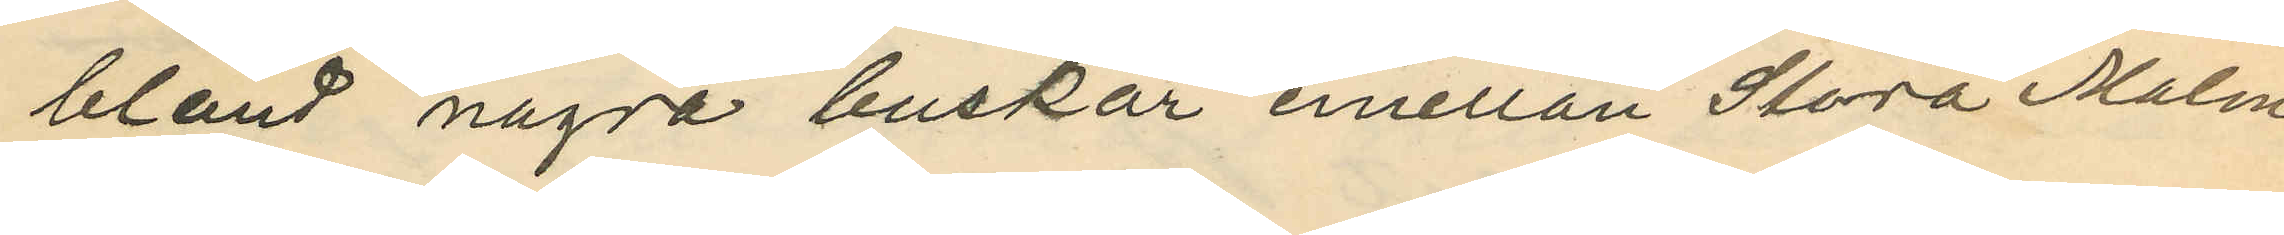bland några buskar emellan Stora Malm¬
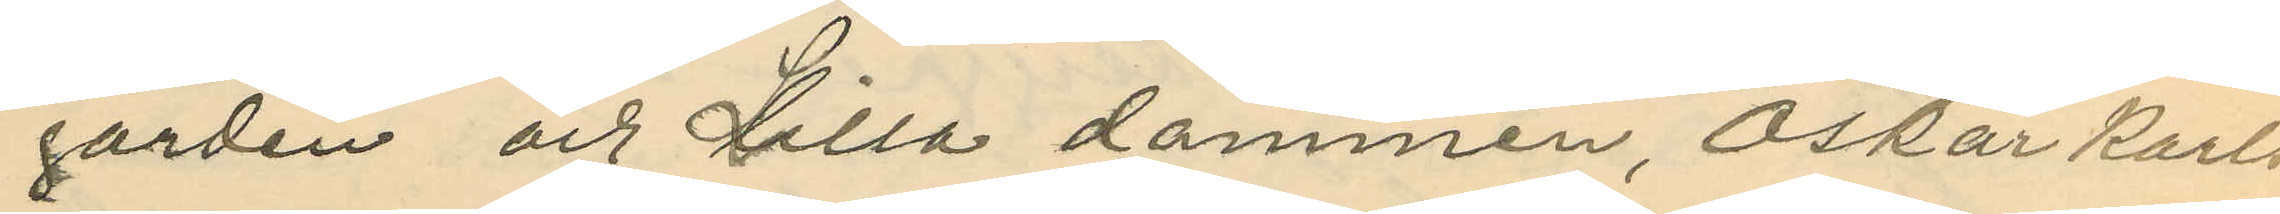gården och Lilla dammen, Oskar Karls¬
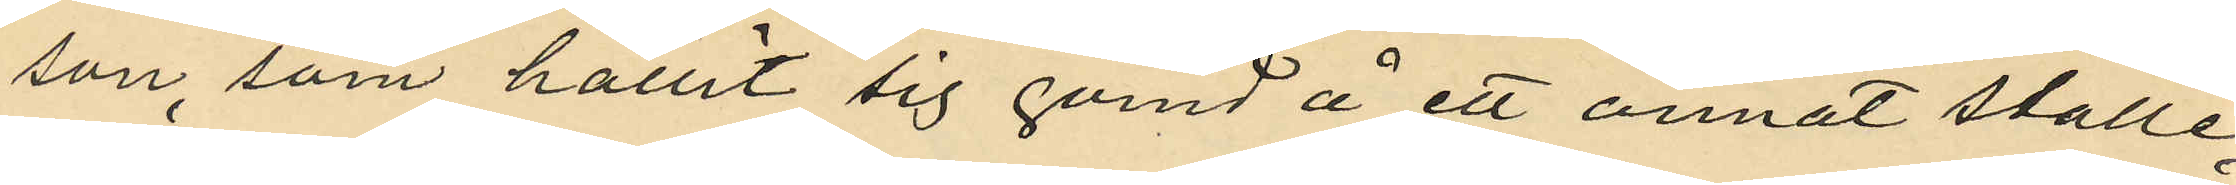son, som hållit sig gömd å ett annat ställe,
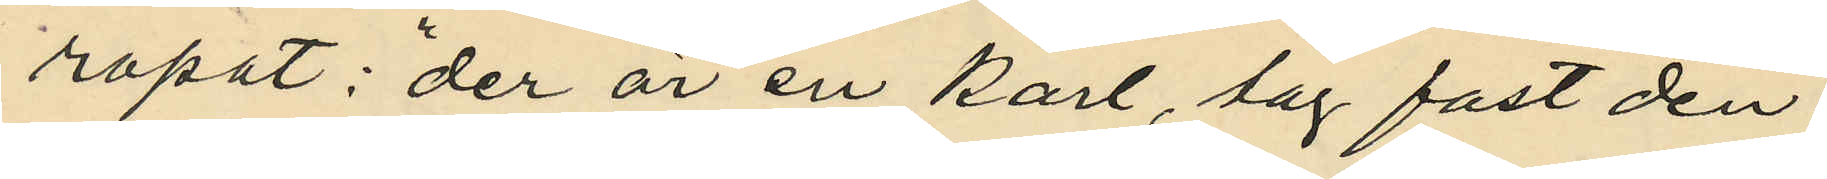ropat: "der är en karl, tag fast den";
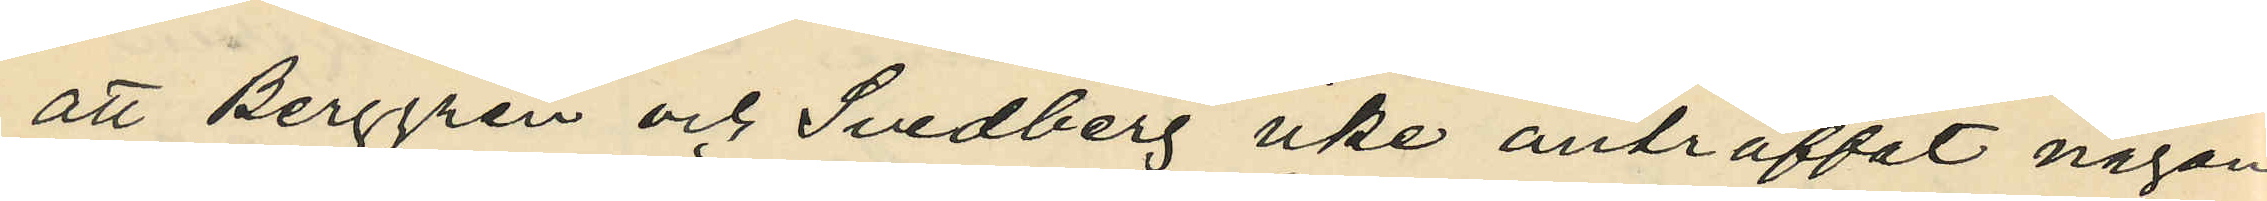att Berggren och Svedberg icke anträffat någon
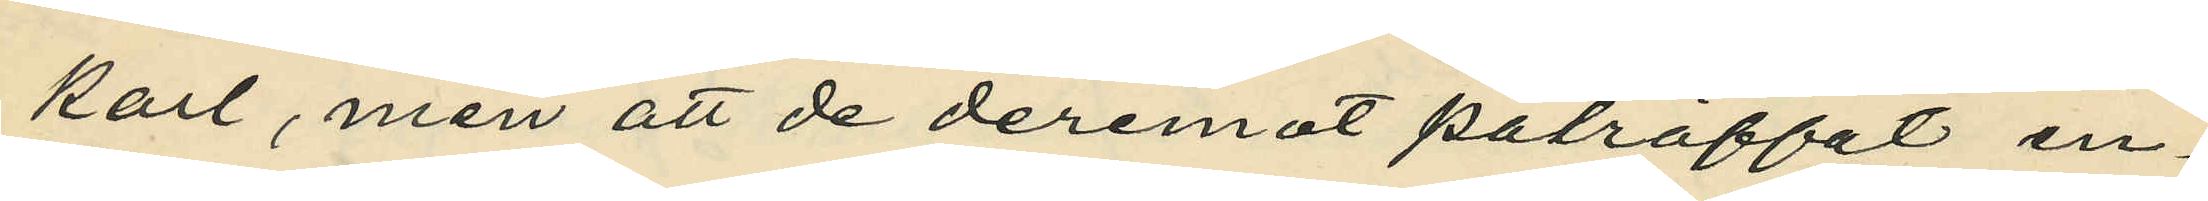karl, men att de deremot påträffat en¬
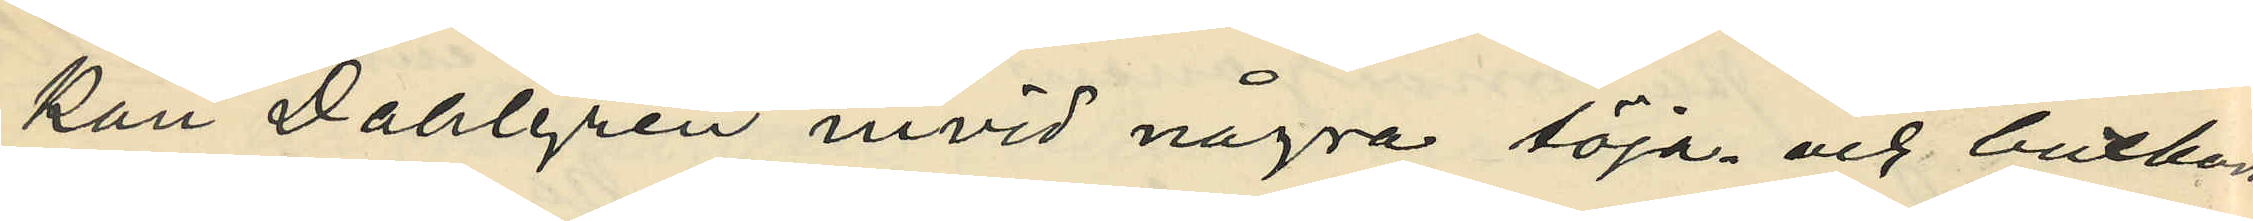kan Dahlgren invid några töja- och buxboms
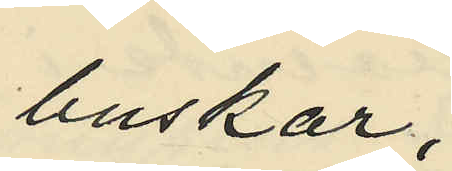buskar;
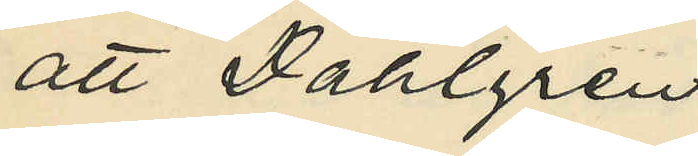att Dahlgren
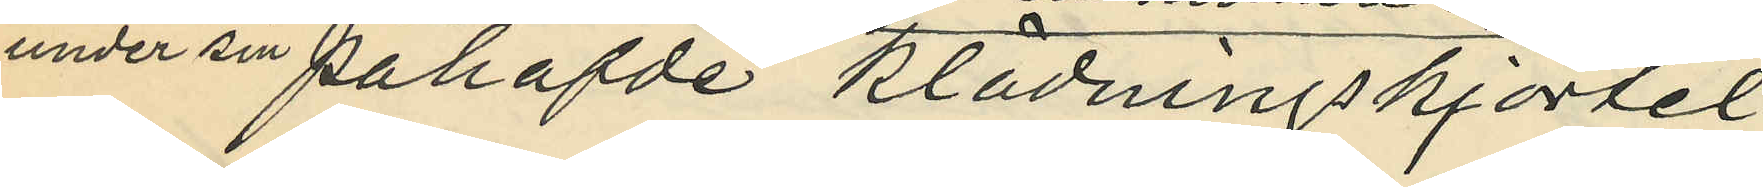under sin påhafde klädningskjortel
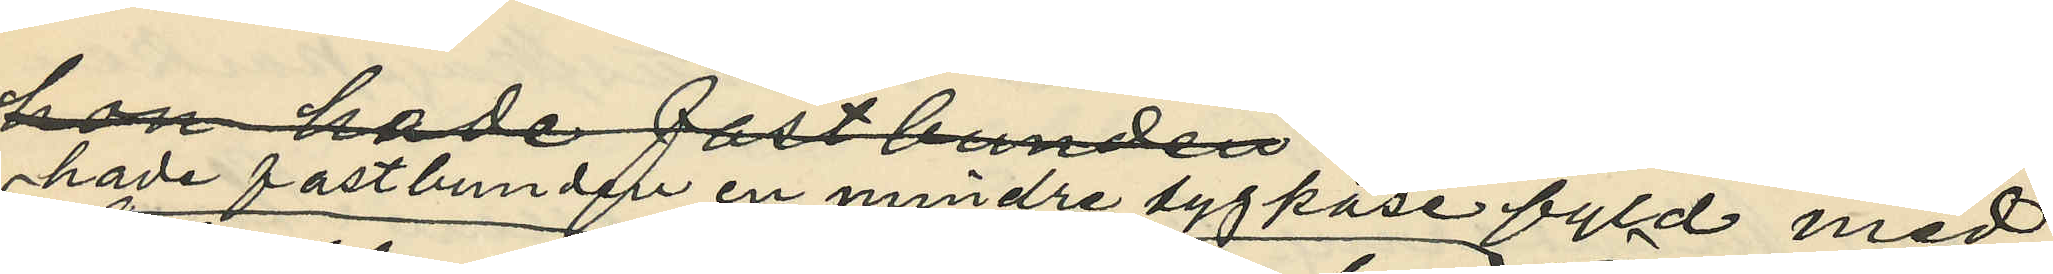hade fastbunden en mindre tygpåse fyld med
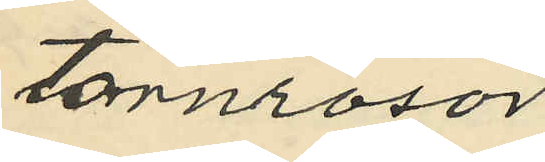törnrosor
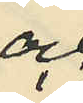och
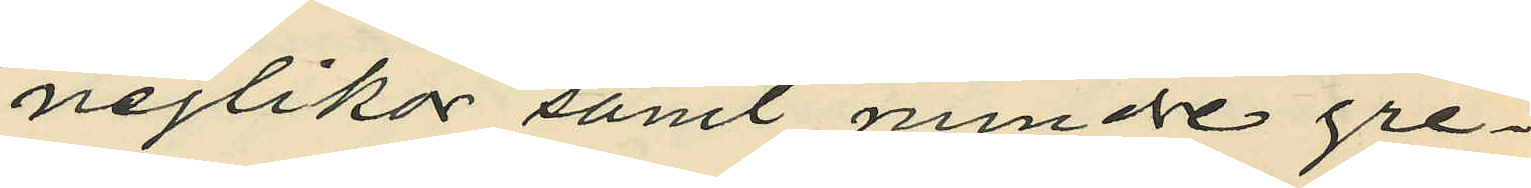nejlikor samt mindre gre¬
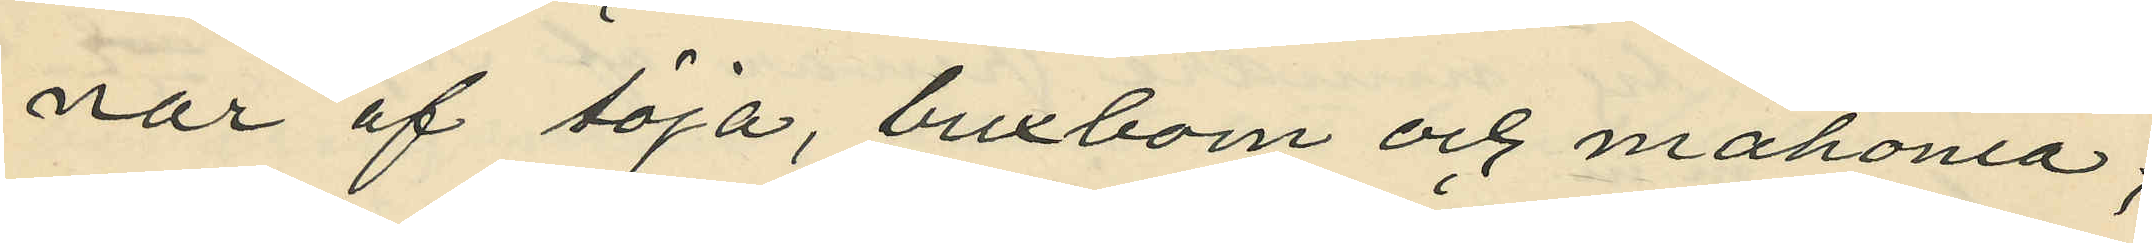nar af töja, buxbom och mahonia;
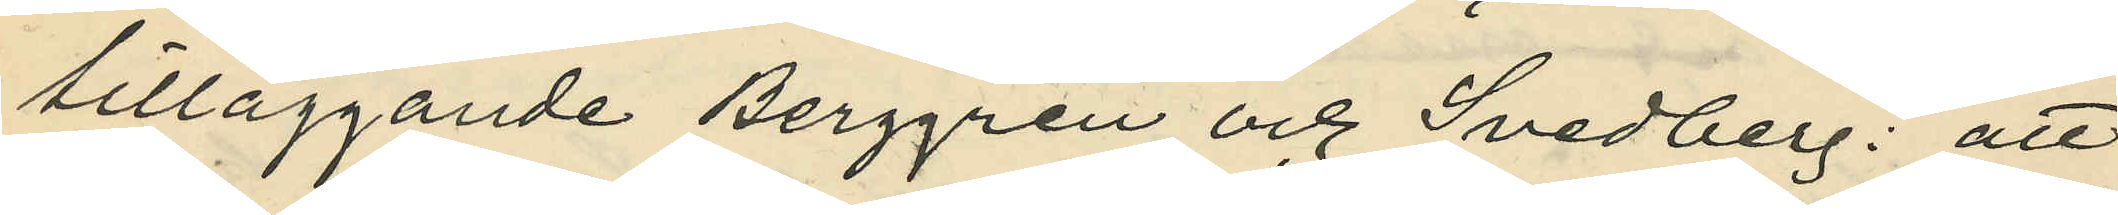tilläggande Berggren och Svedberg: att
